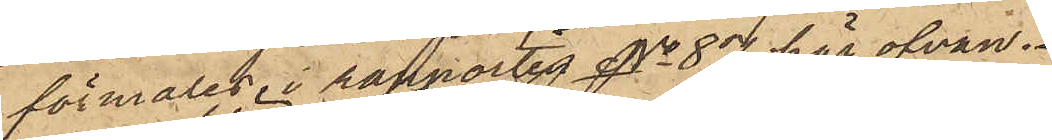förmäles i rapporten No 87 här ofvan.
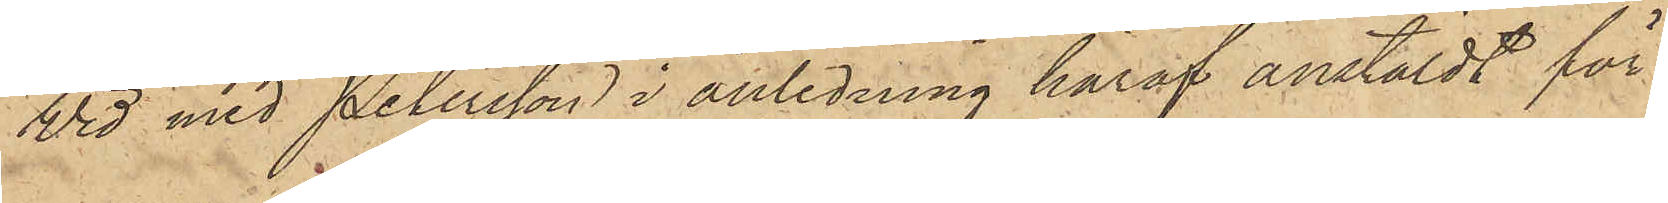Wid med Petersson i anledning häraf anstäldt för¬
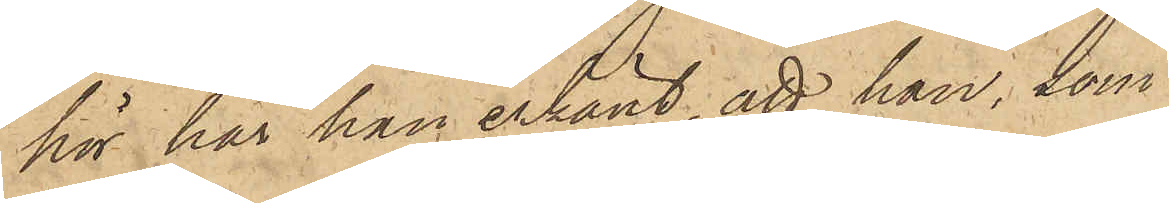hör har han erkänt; att han, som
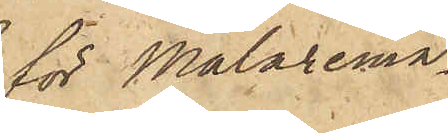för Målaremä¬
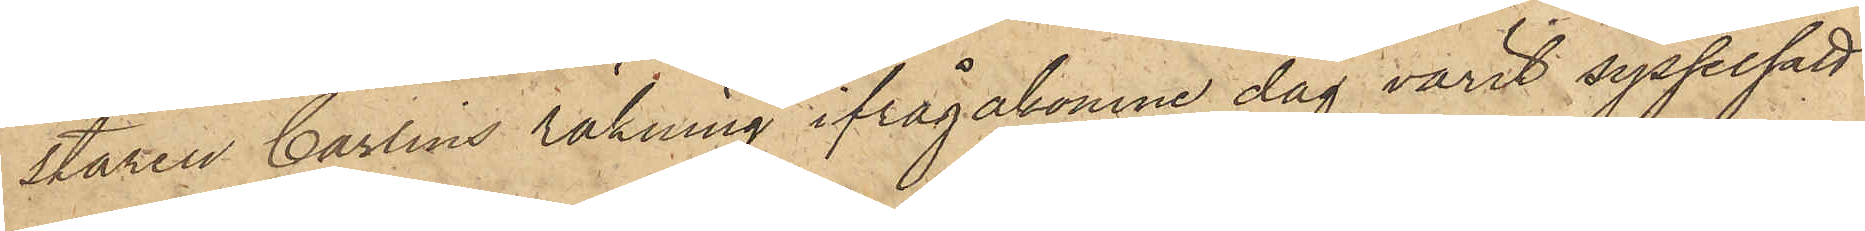staren Carlins räkning ifrågakomne dag varit sysselsatt
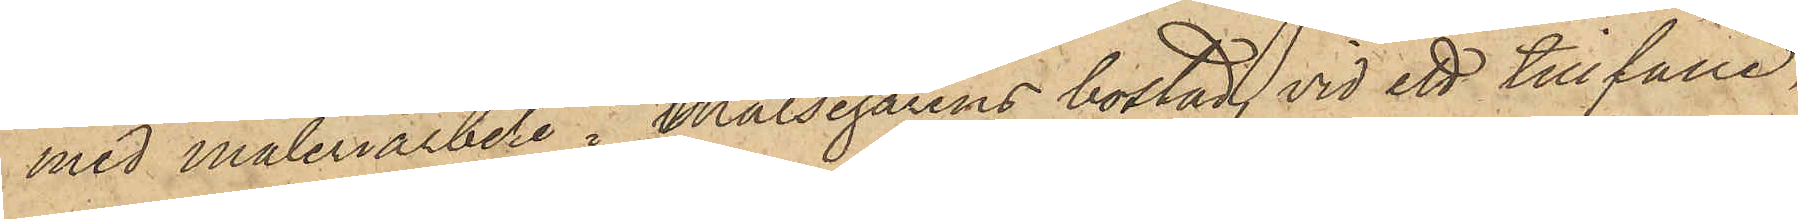med måleriarbete i Målsegarens bostad, vid ett tillfälle,
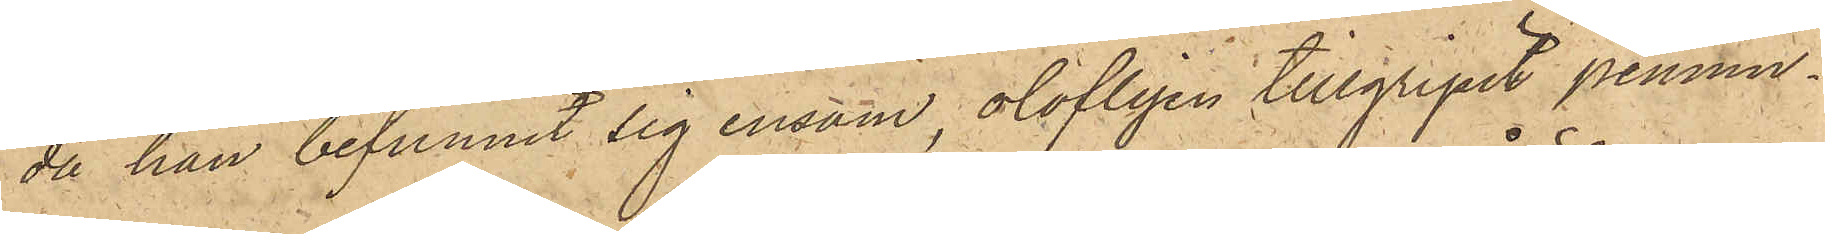då han befunnit sig ensam, olofligen tillgripit pennin¬
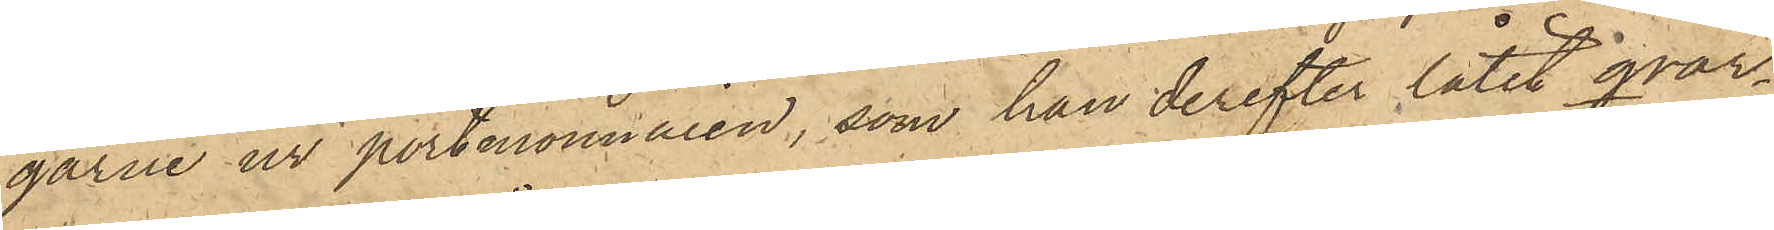garne ur portmonnaien, som han derefter låtit qvar¬
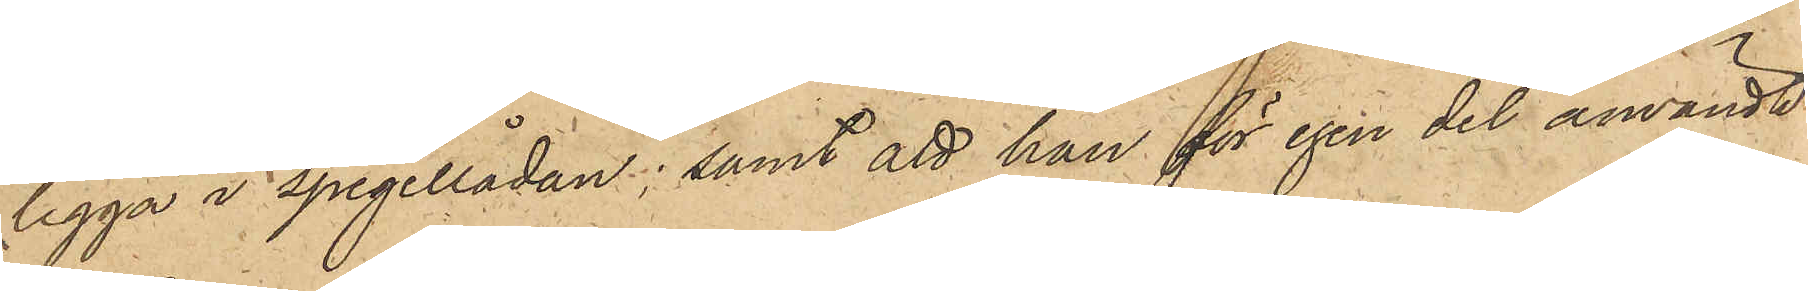ligga i spegellådan; samt att han för egen del användt
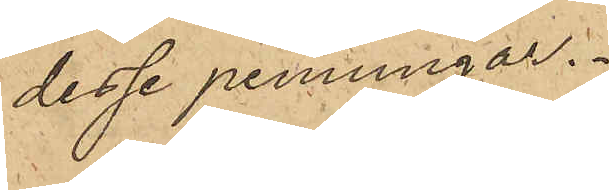desse penningar.
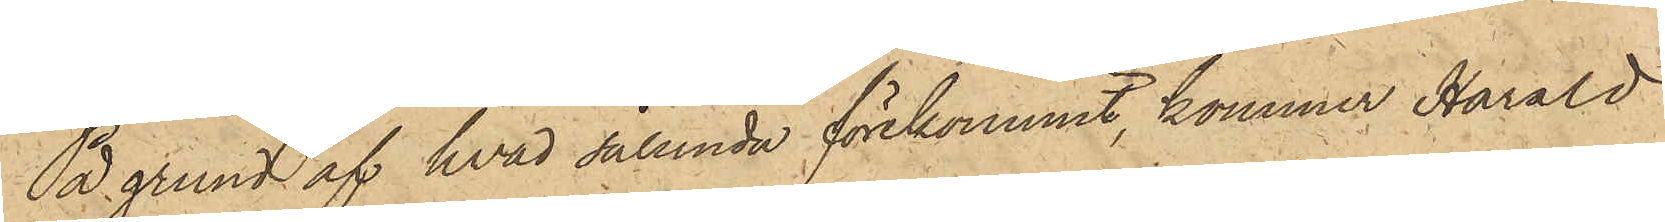På grund af hvad sålunda förekommit, kommer Harald
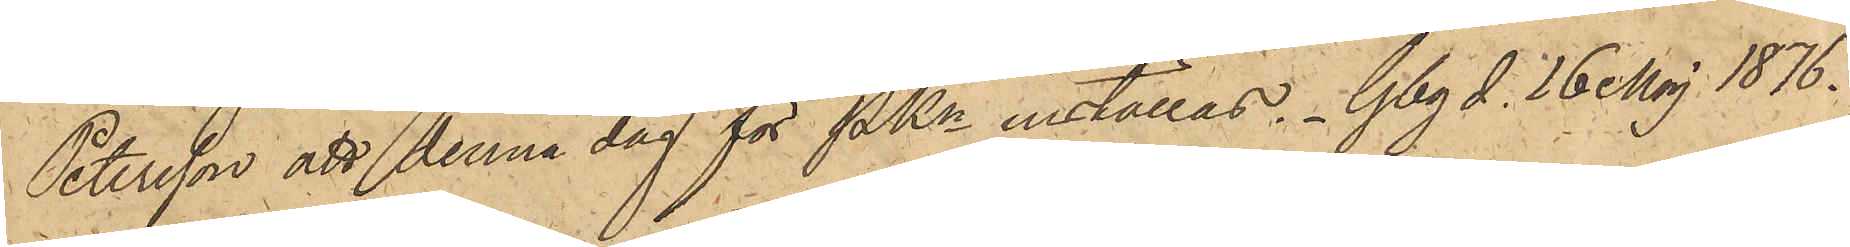Petersson att denna dag för PKn inställas. Gbg d. 16 Maj 1876.
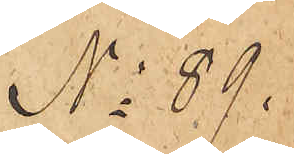No 89.
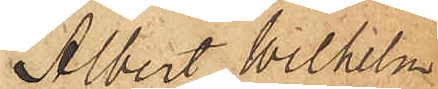Albert Wilhelm
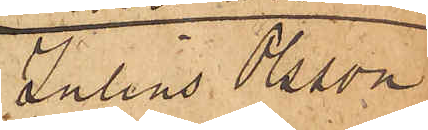Julius Olsson
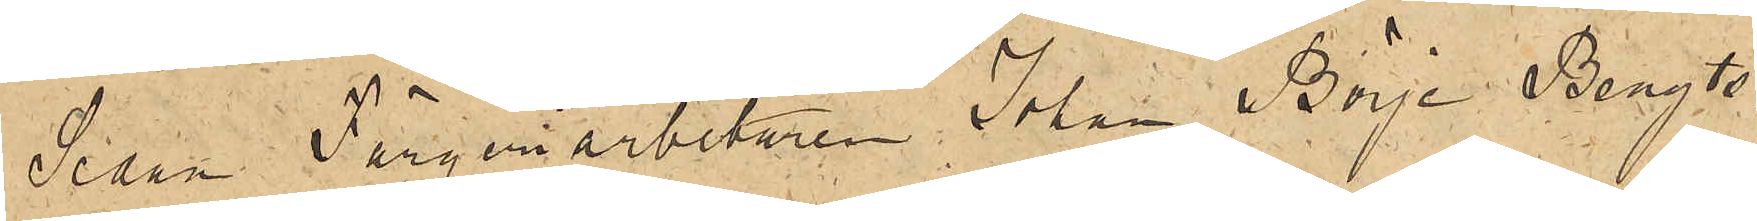Sedan FärgeriarbetarenJohan Börje Bengts¬
